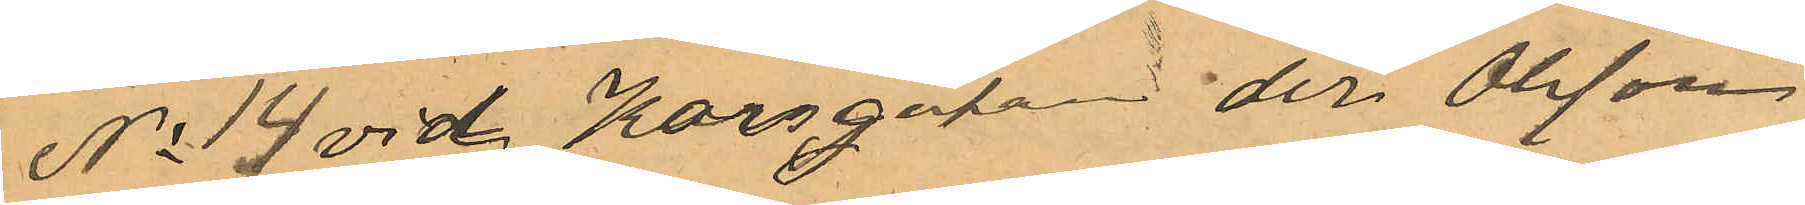No 14 vid Korsgatan der Olsson
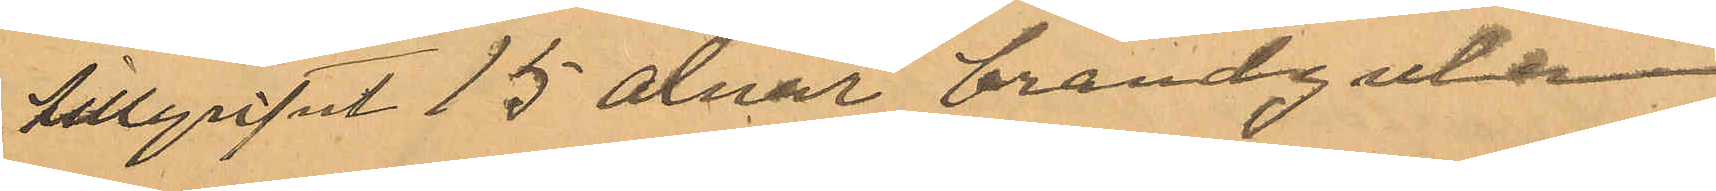tillgripit 15 alnar brandgula
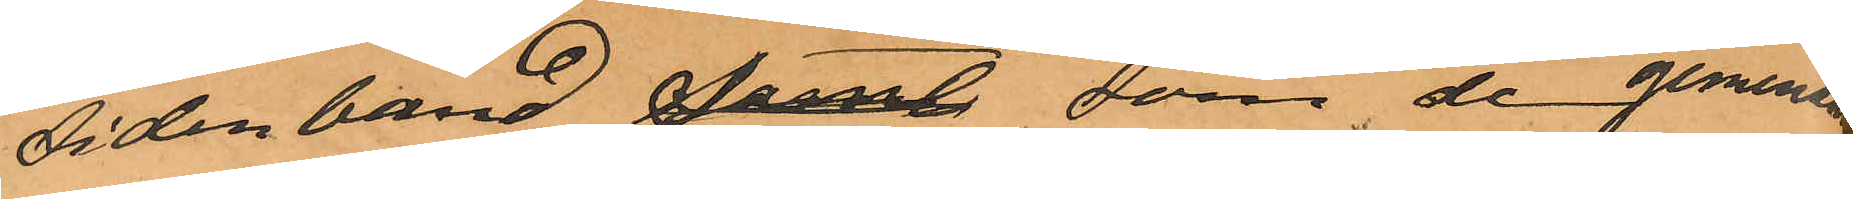sidenband samt som de gemensamt
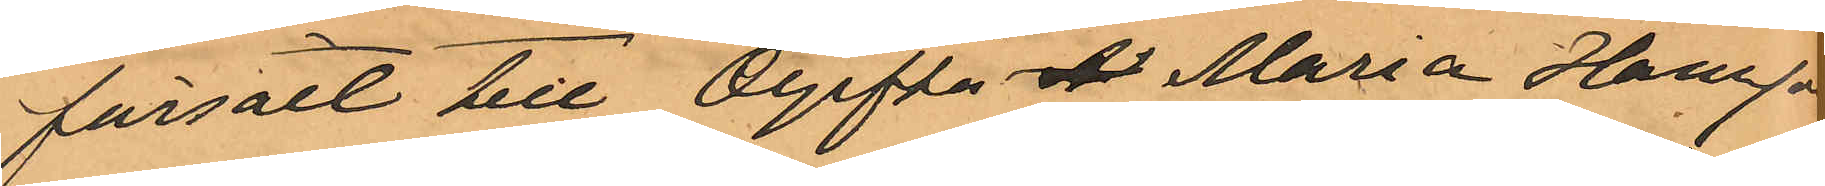försålt till Ogifta  Maria Hansson
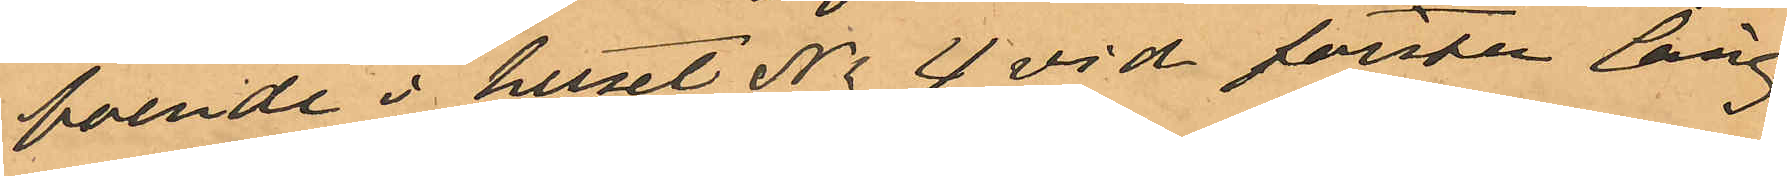boende i huset No 4 vid första Lång¬
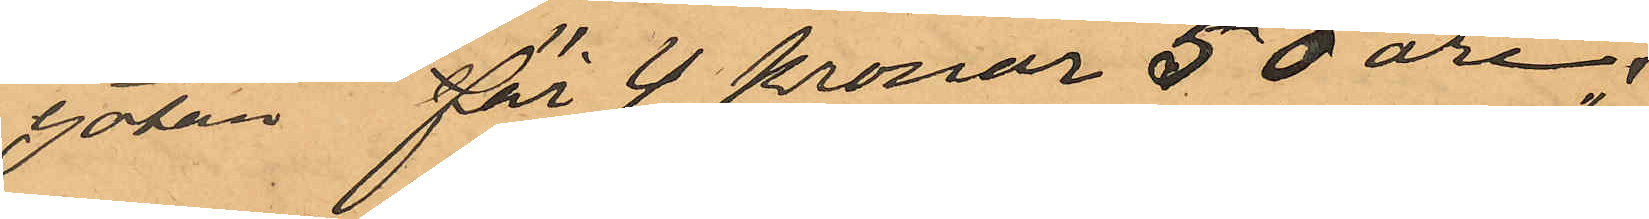gatan för 4 kronor 50 öre;
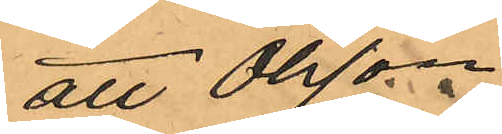att Olsson
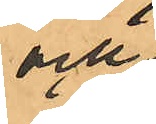och
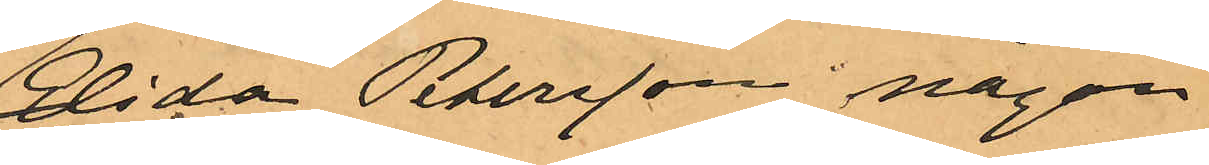Elida Petersson någon
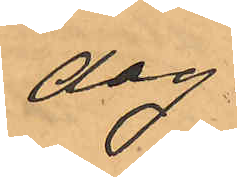dag
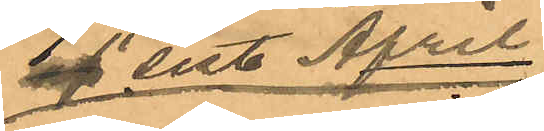af sist April
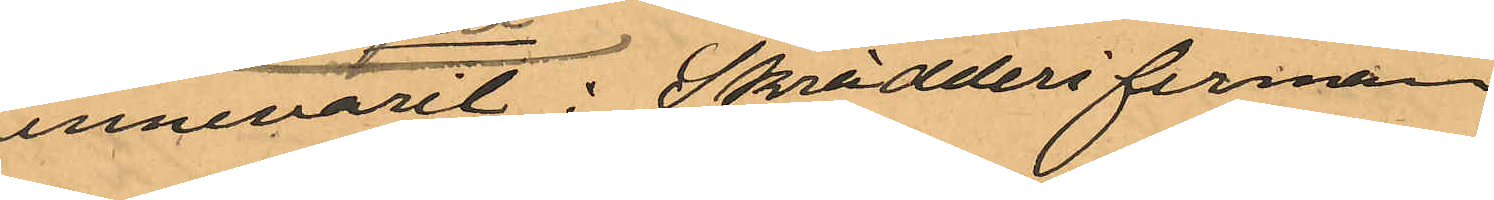innevarit i  Skrädderifirman
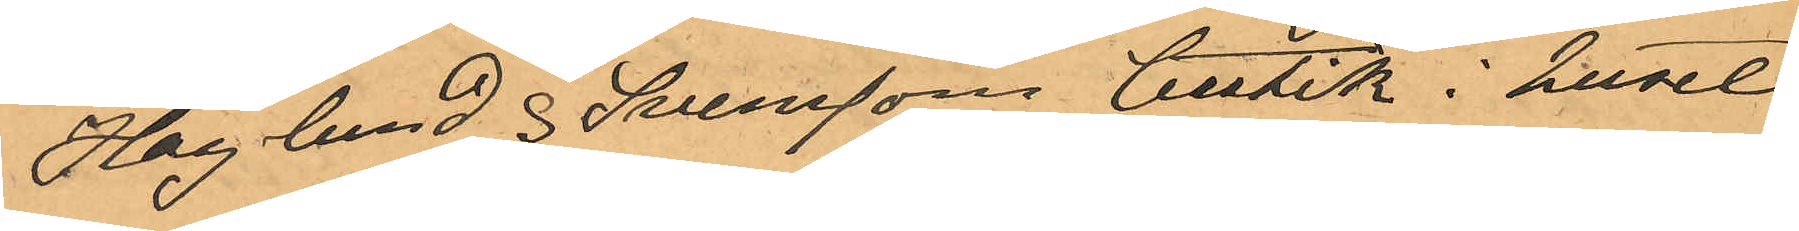Haglund & Svenssons butik i huset
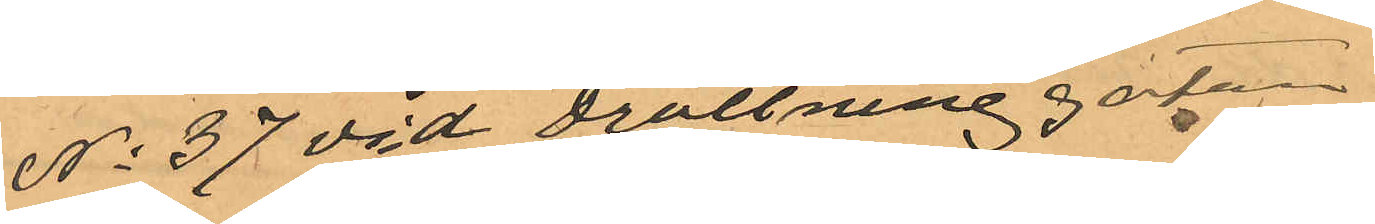No 37 vid Drottninggatan
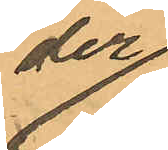der
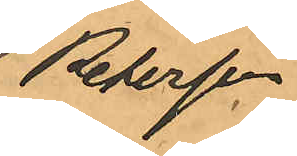Petersson
